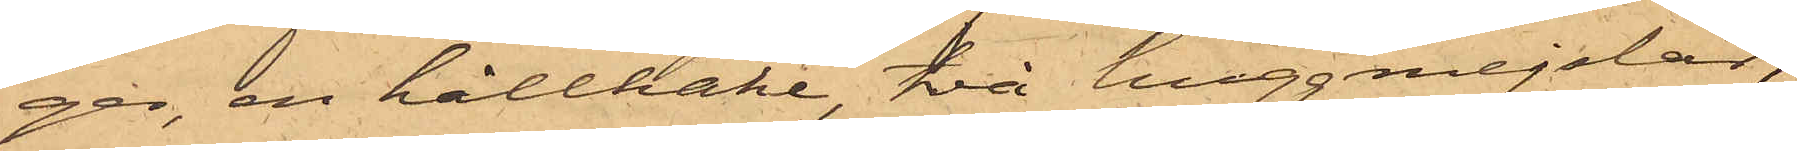ger, en hållhake, två huggmejslar,
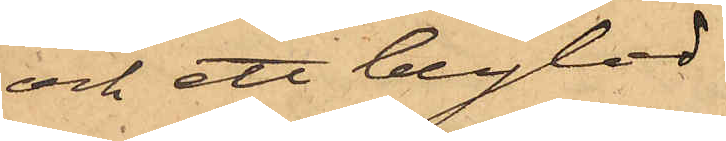och ett blylod
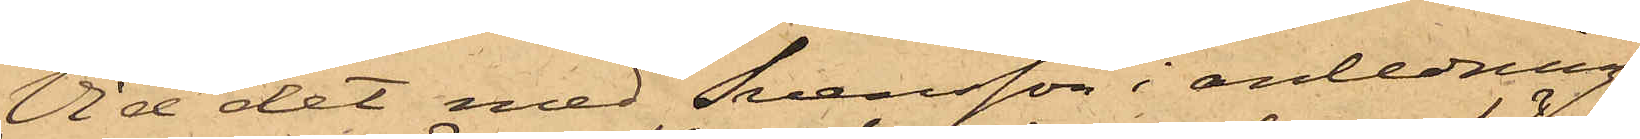Vid det med Svensson i anledning
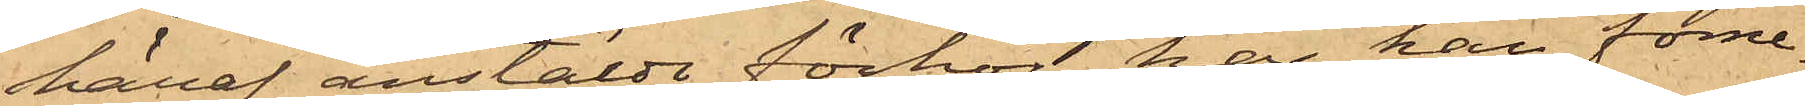häraf anstäldt förhör, har han förne¬
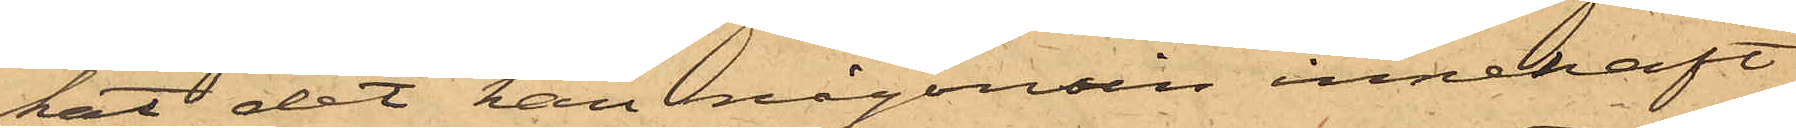kat det han någonsin innehaft
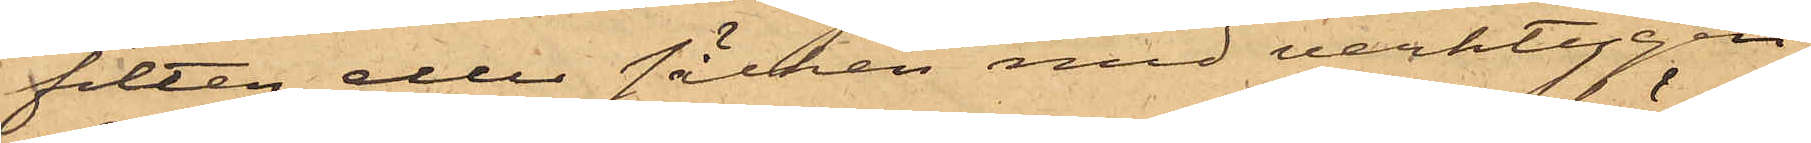filten eller säcken med verktygen,
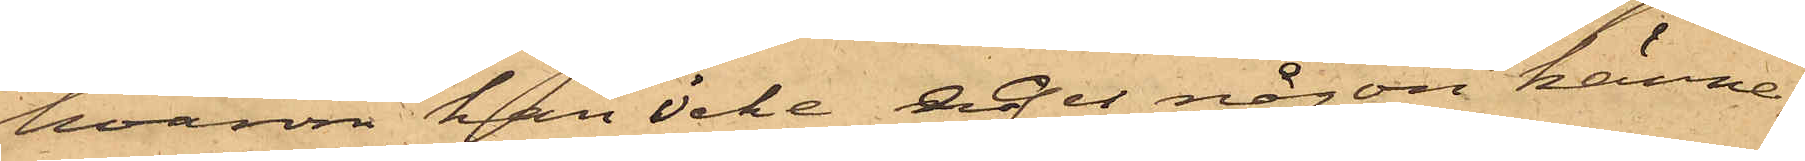hvarom han icke eger någon känne¬
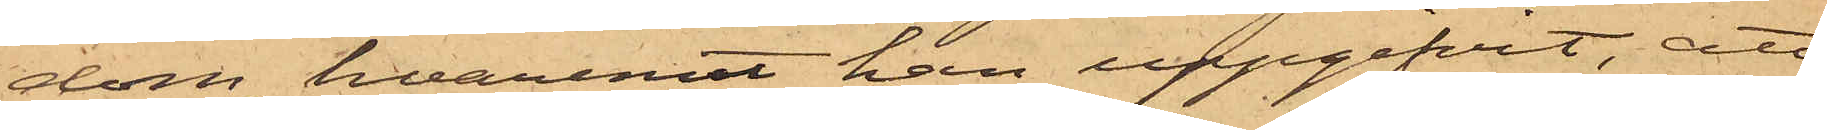dom, hvaremot han uppgifvit, att
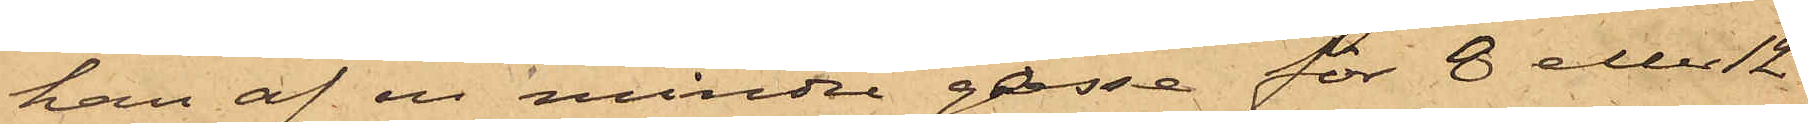han af en mindre gosse för 8 eller 12
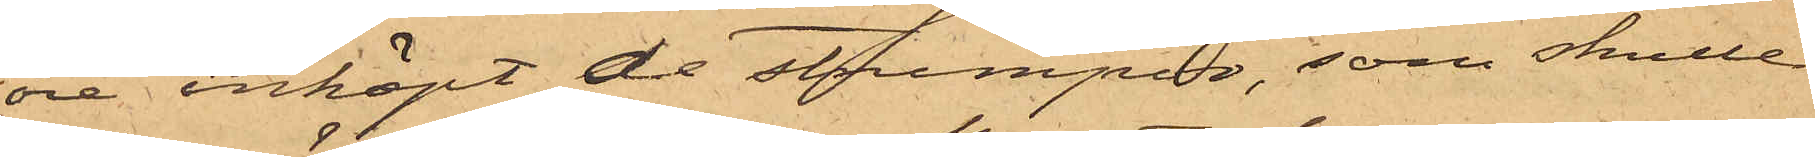öre inköpt de strumpor, som skulle
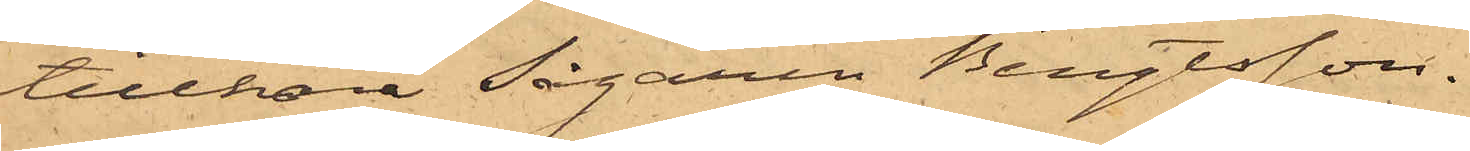tillhöra Sågaren Bengtsson.
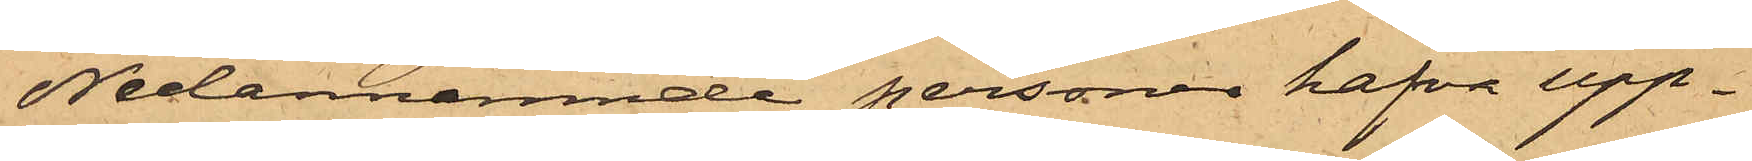Nedannämnde personer hafva upp¬
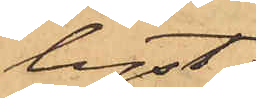lyst:
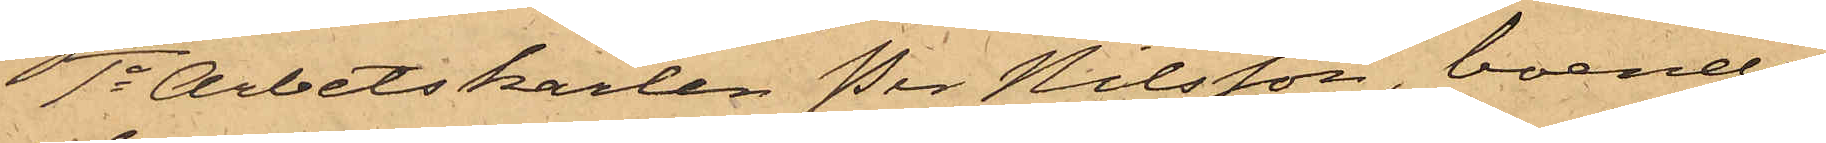1o Arbetskarlen Per Nilsson, boende
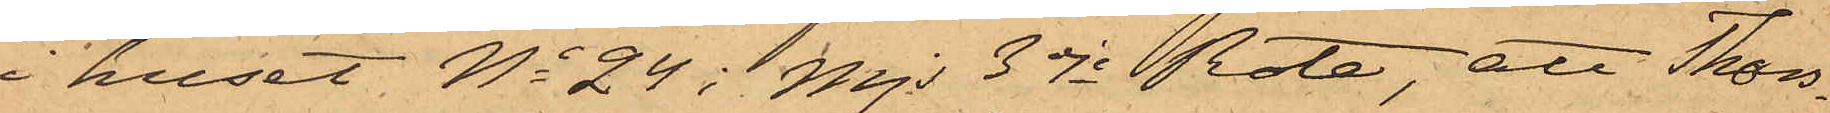i huset No 24 i Mjs 3dje Rote, att Thors¬
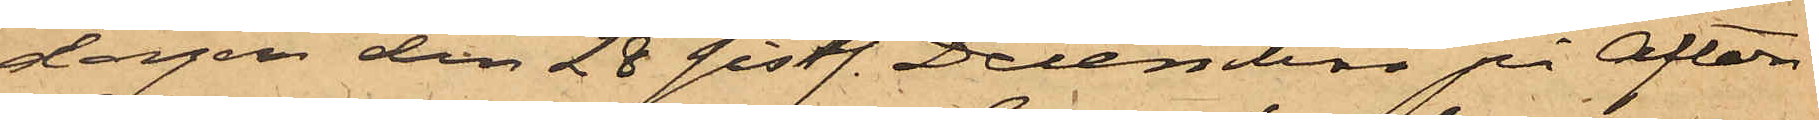dagen den 28 sistl. December på Afton
